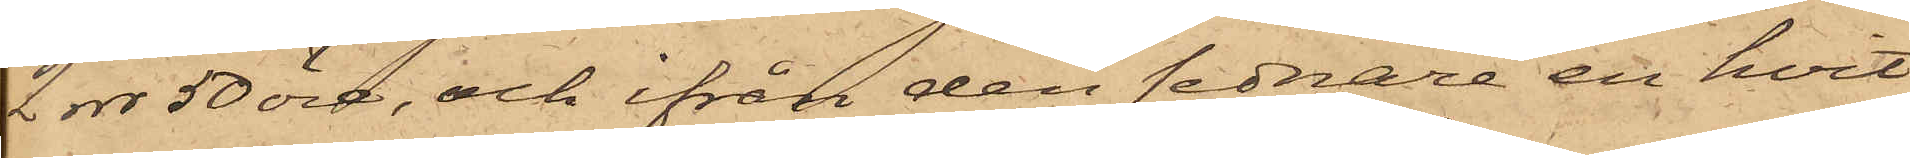2 rdr 50 öre, och ifrån den sednare en hvit
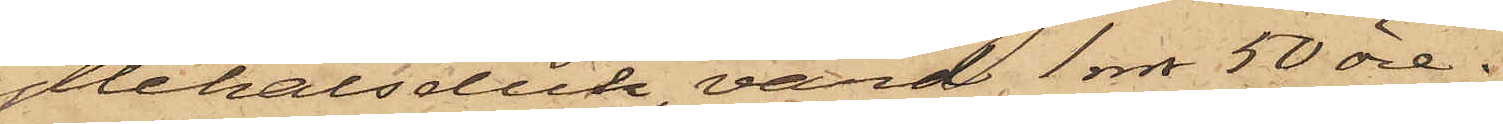yllehalsduk, värd 1 rdr 50 öre;
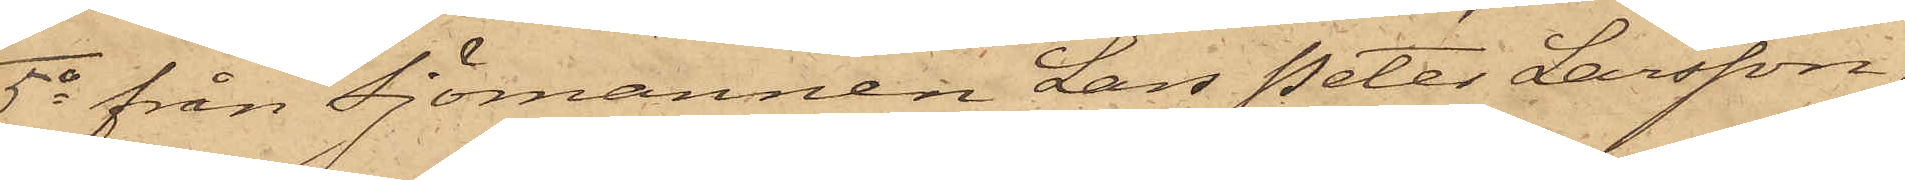5o från Sjömannen Lars Peter Larsson,
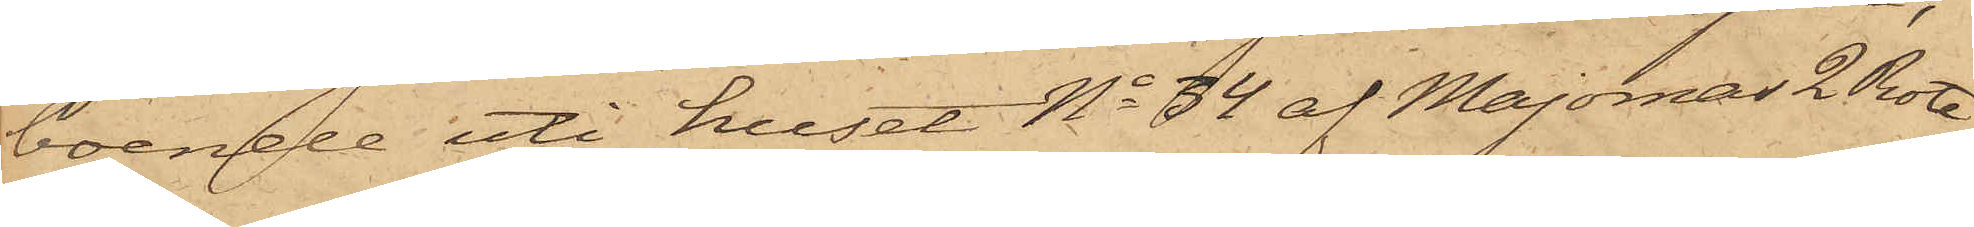boende uti huset No 34 af Majornas 2 Rote,
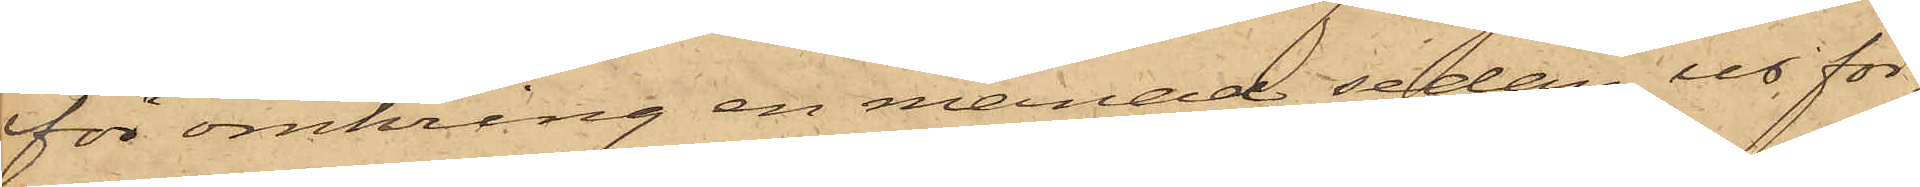för omkring en månad sedan ur för¬
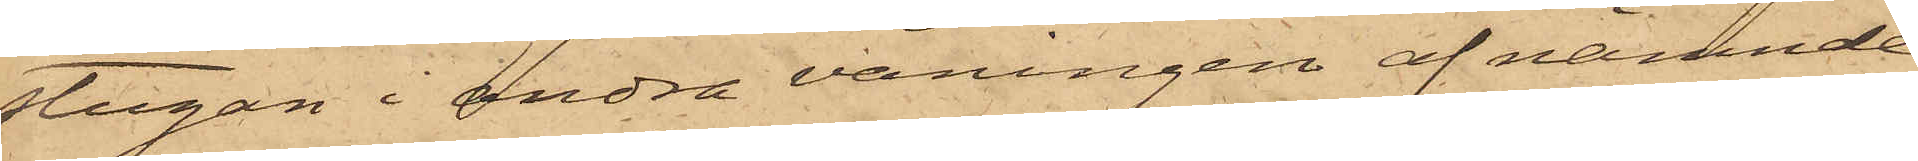stugan i andra våningen af nämnde
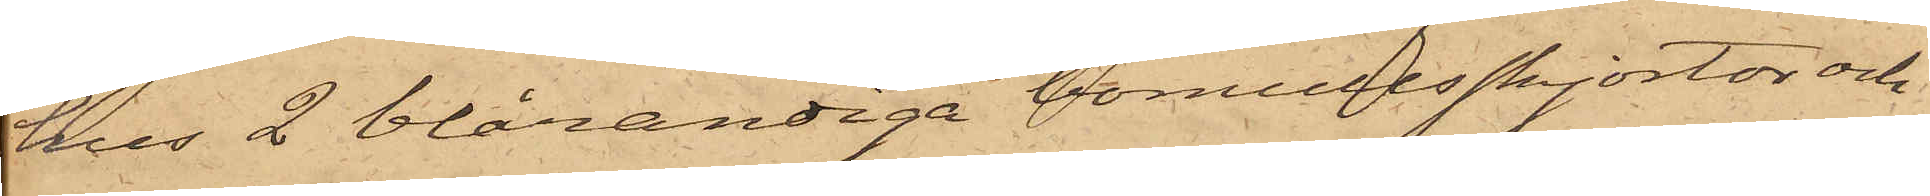hus 2 blårandiga bomullsskjortor och
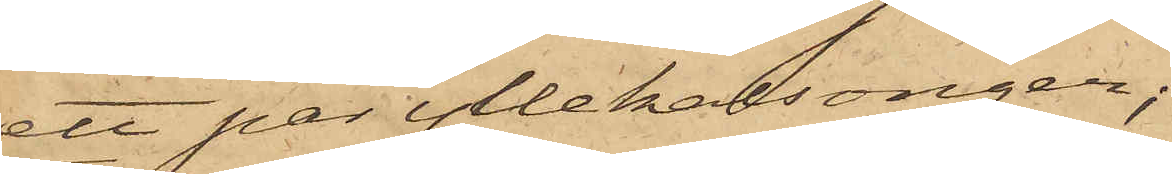ett par yllekalsonger;
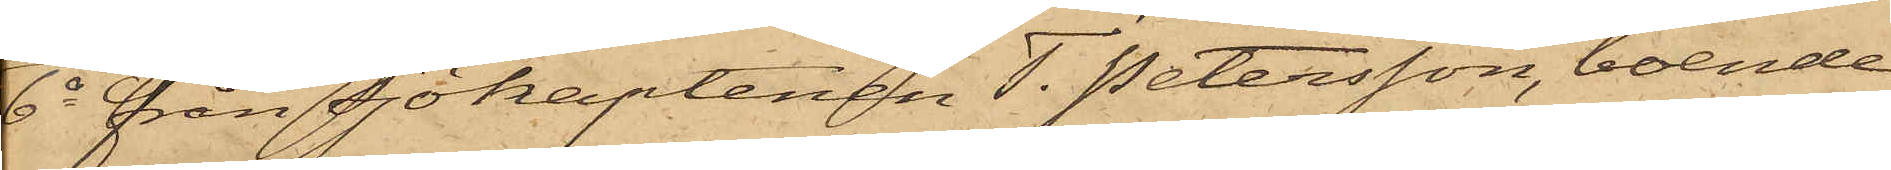6o från Sjökaptenen T. Petersson, boende
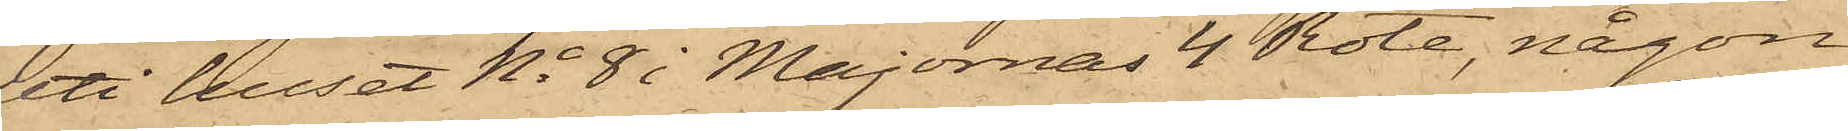uti huset No 8 i Majornas 4 Rote, någon
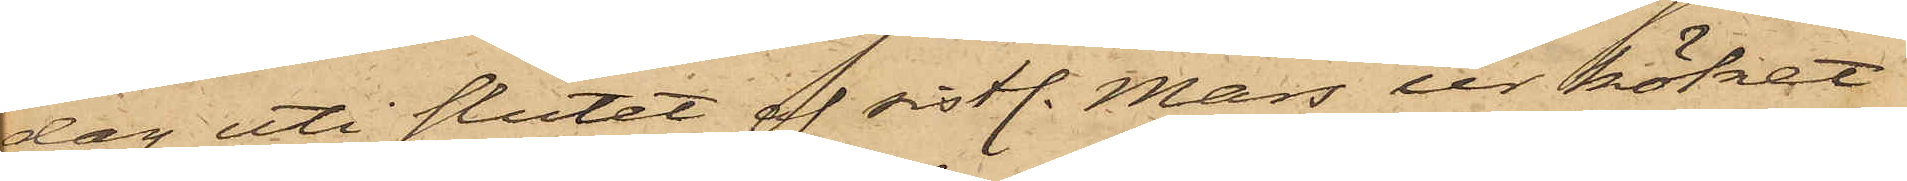dag uti slutet af sistl. Mars ur köket
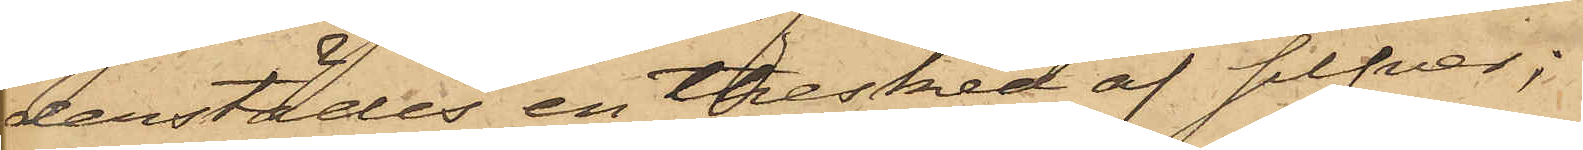derstädes en thesked af silfver;
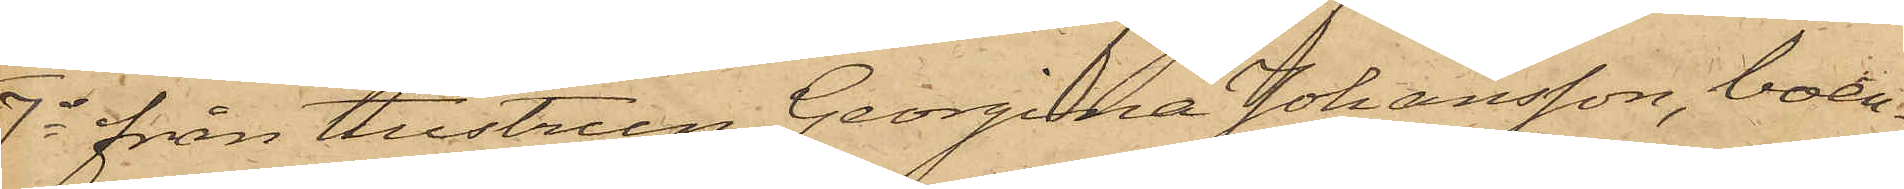7o från Hustrun Georgina Johansson, boen¬
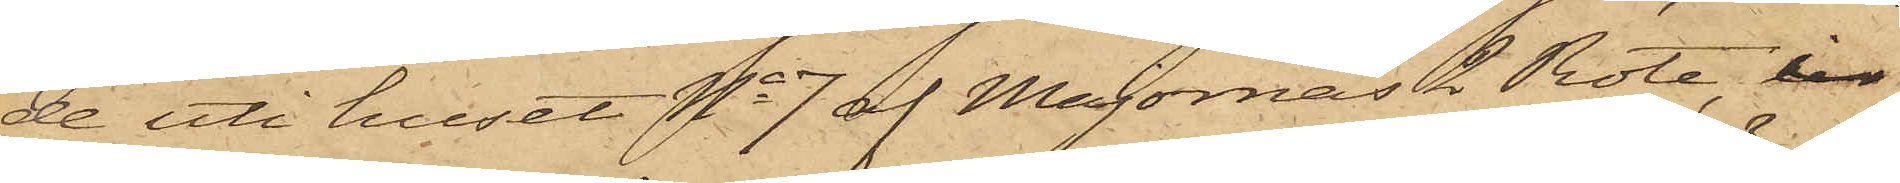de uti huset No 7 af Majornas 2 Rote, i
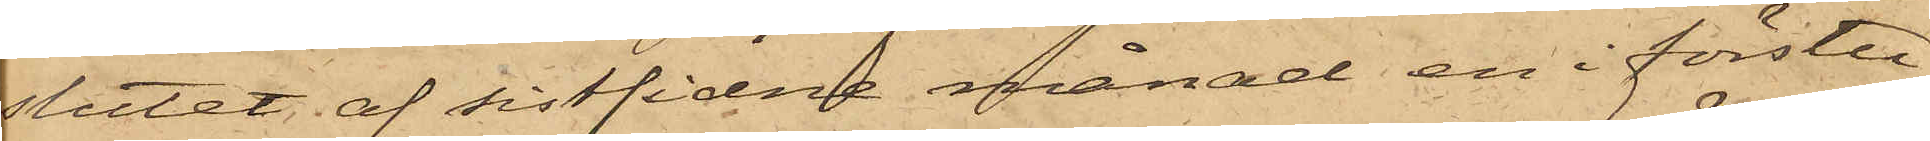slutet af sistlidne månad en i förstu¬
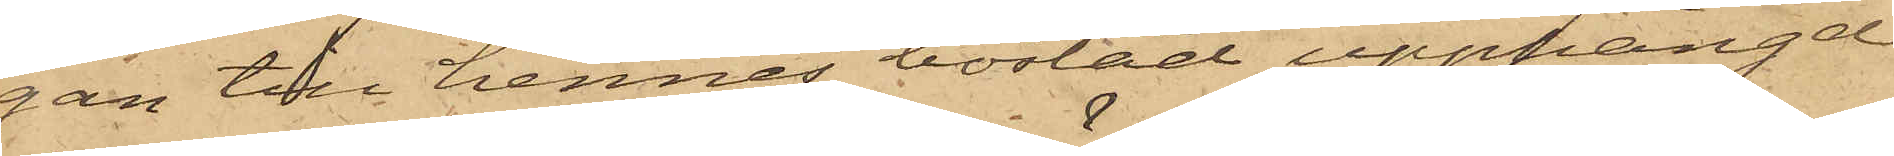gan till hennes bostad upphängd
